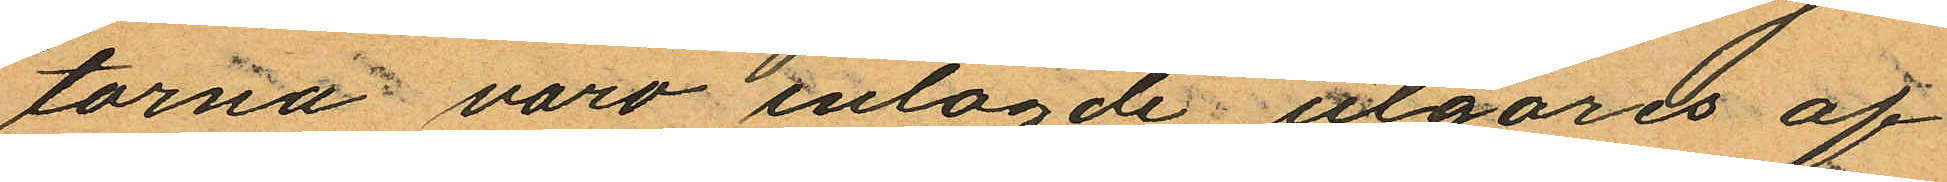torna varo inlagde utgöres af
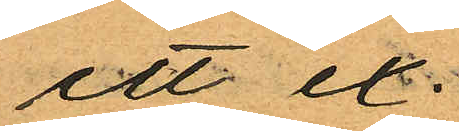ett ex.
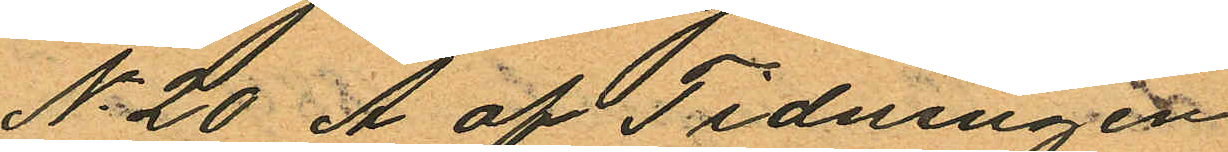No 20 A af Tidningen
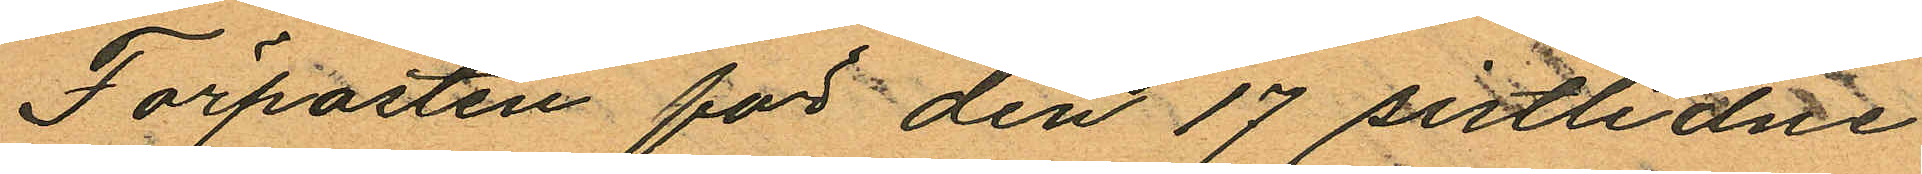Förposten för den 17 sistlidne
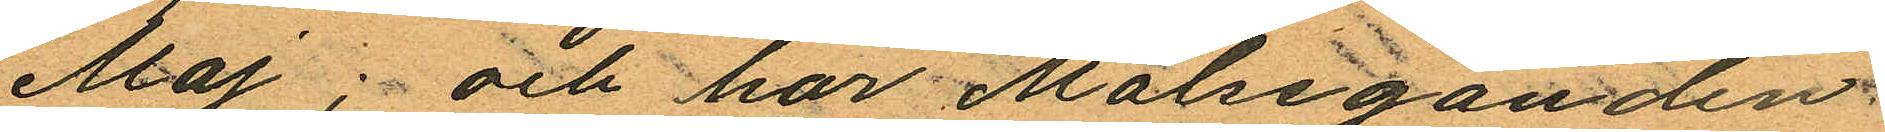Maj; och har Målseganden
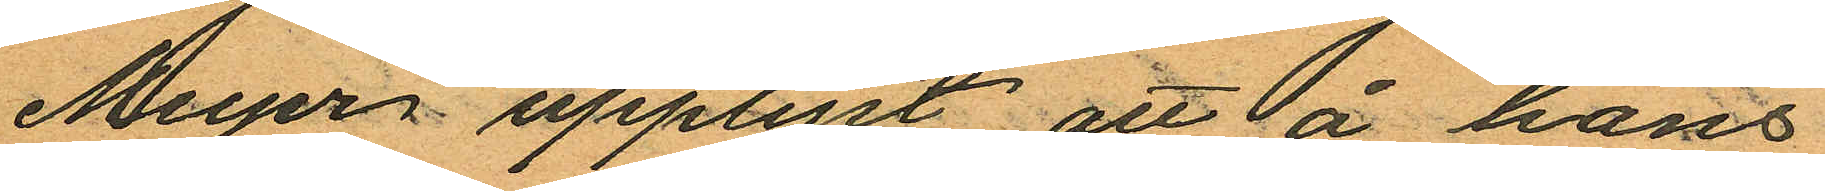Meyer upplyst att å hans
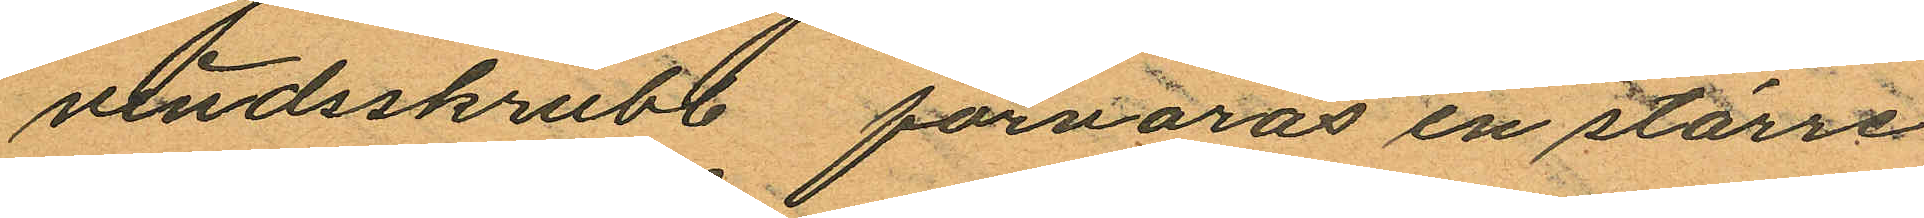vindsskrubb förvaras en större
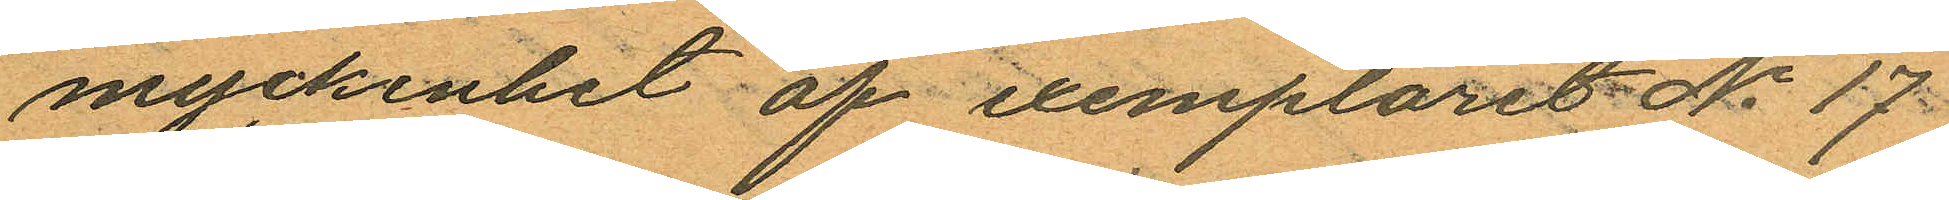myckenhet af exemplaret No 17
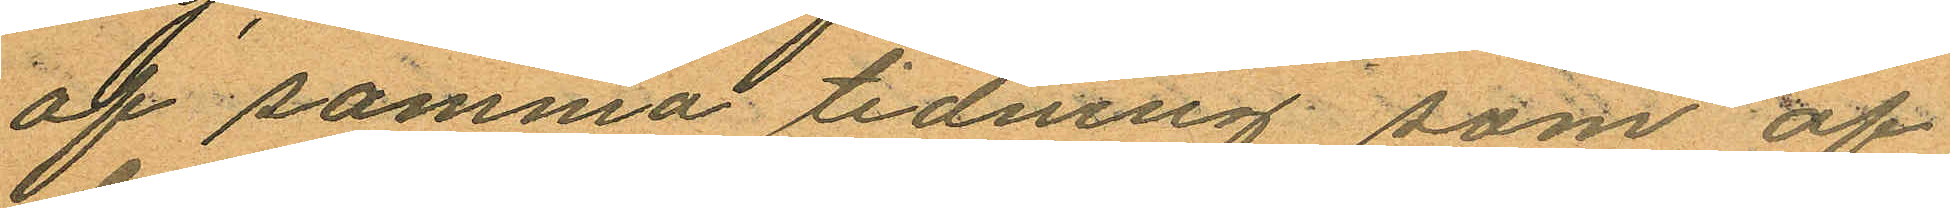af samma tidning som af
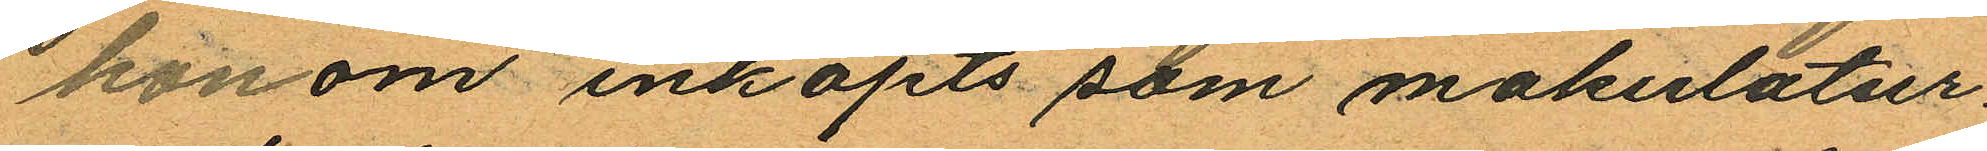honom inköpts som makulatur.
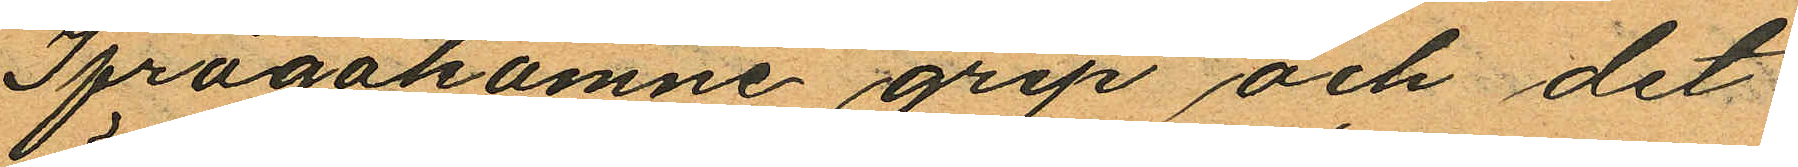Ifrågakomne grip och det
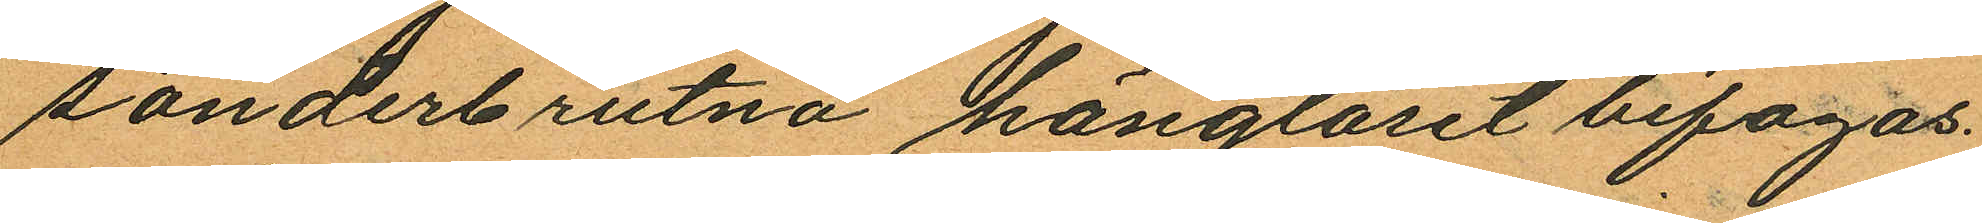sönderbrutna hänglåset bifogas.
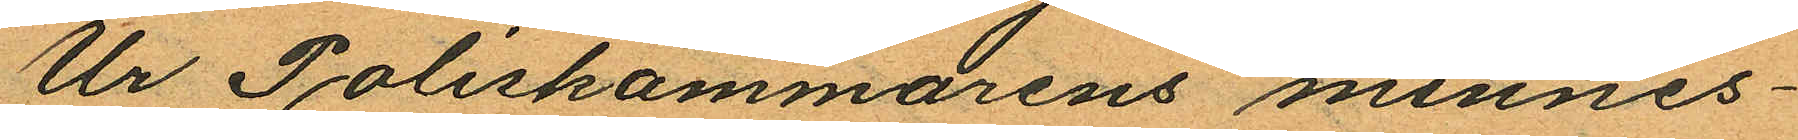Ur Poliskammarens minnes¬
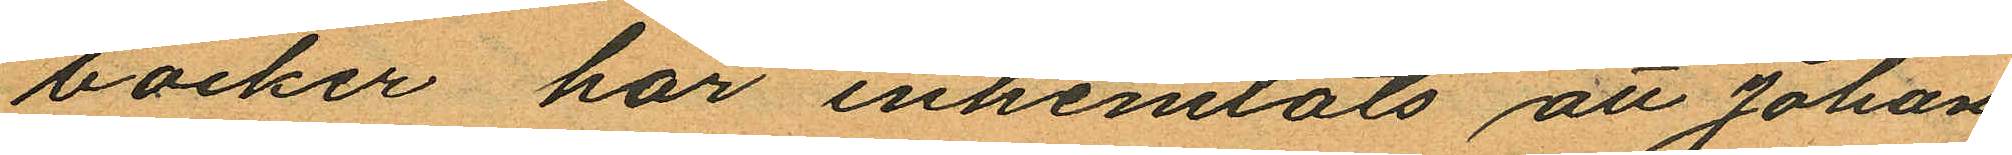böcker har inhemtats att Johan
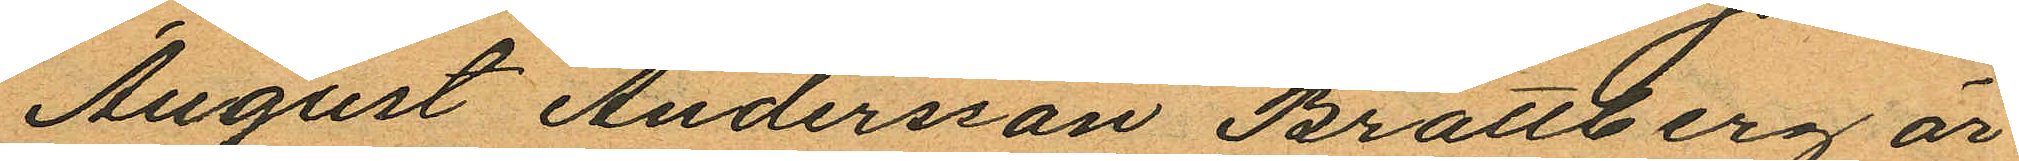August Andersson Brattberg är
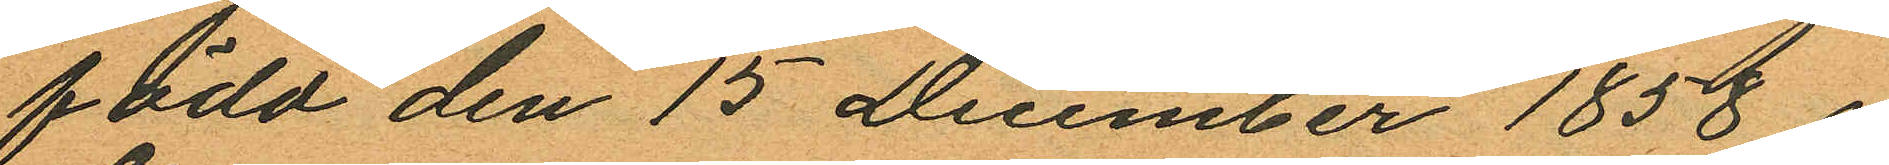född den 15 December 1858
